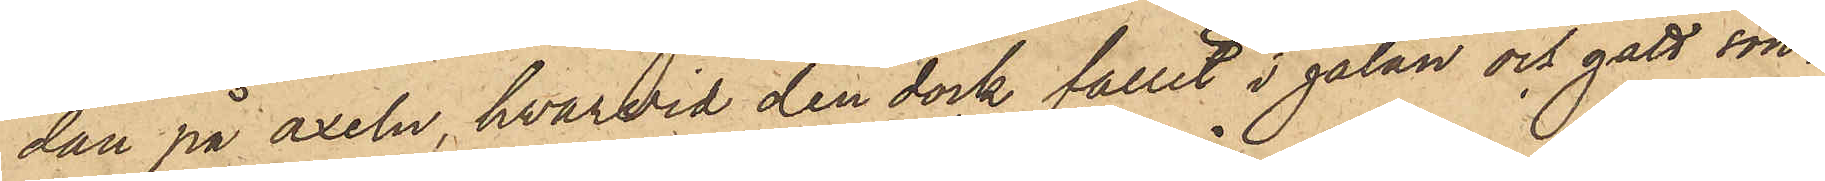dan på axeln, hvarvid den dock fallit i gatan och gått sön¬
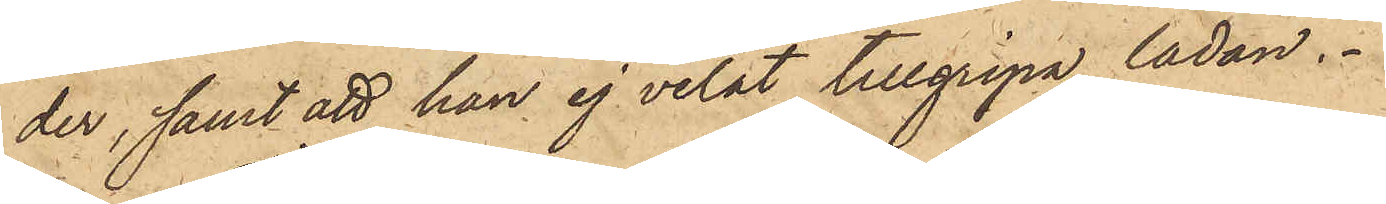der; samt att han ej velat tillgripa lådan.
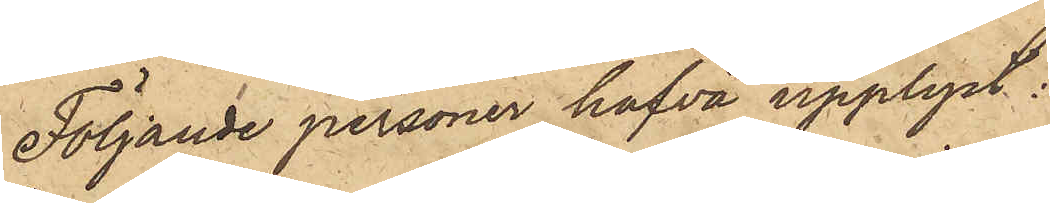Följande personer hafva upplyst:
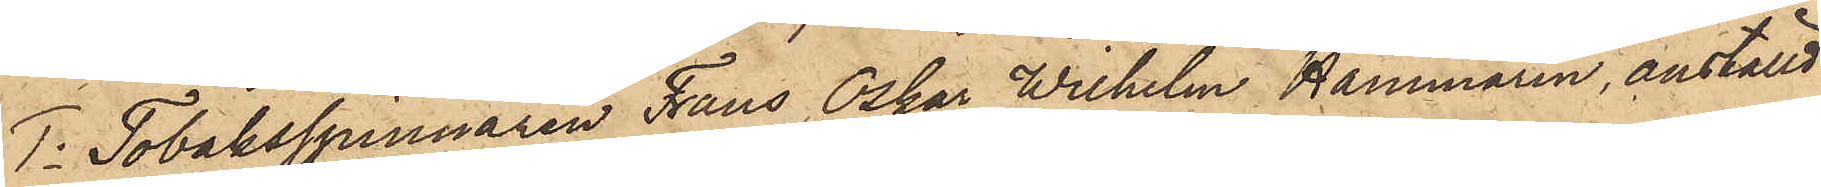1o Tobaksspinnaren Frans Oskar Wilhelm Hammarin, anställd
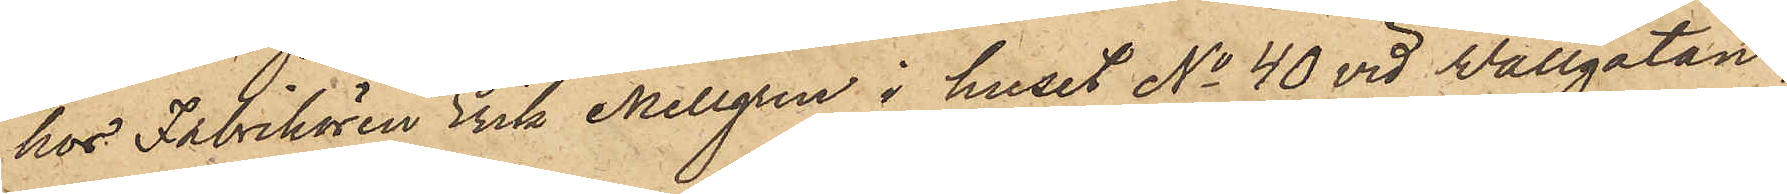hos Fabrikören Erik Mellgren i huset No 40 vid Wallgatan,
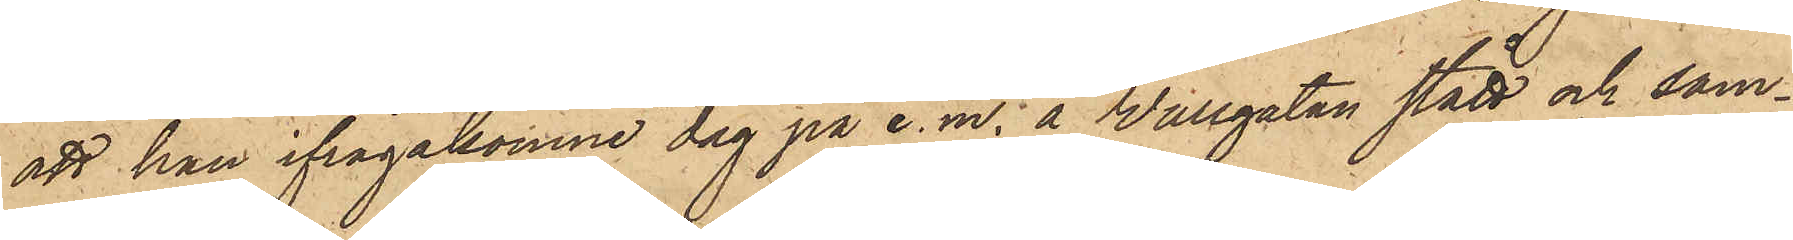att han ifrågakomne dag på e. m. å Wallgatan stått och sam¬
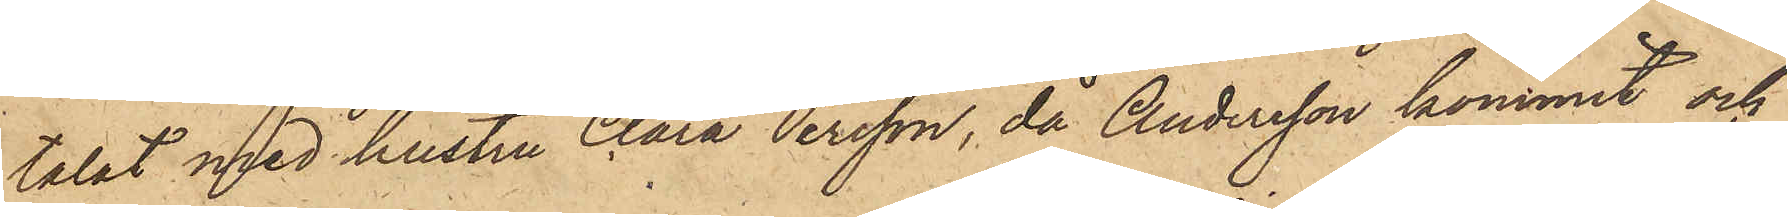talat med hustru Clara Persson, då Andersson kommit och
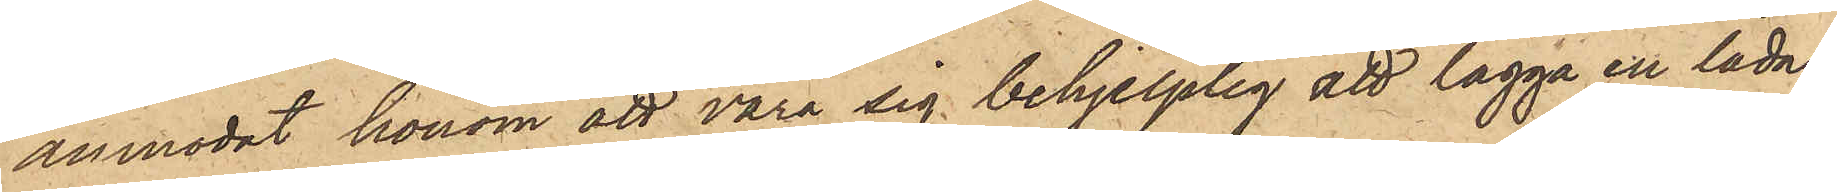anmodat honom att vara sig behjelplig att lägga en låda,
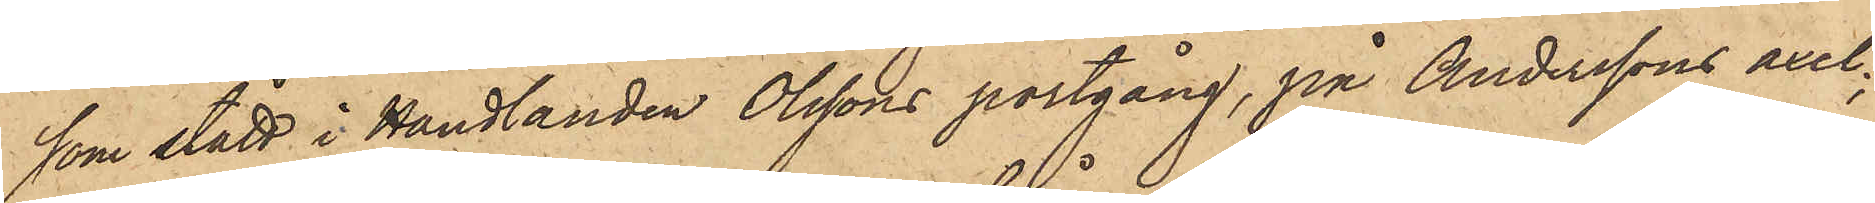som stått i Handlanden Olssons portgång, på Anderssons axel;
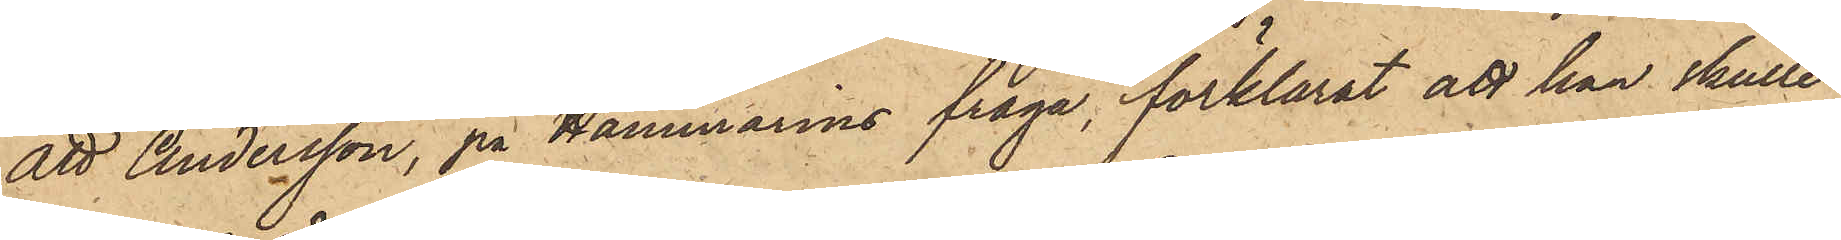att Andersson, på Hammarins fråga, förklarat att han skulle
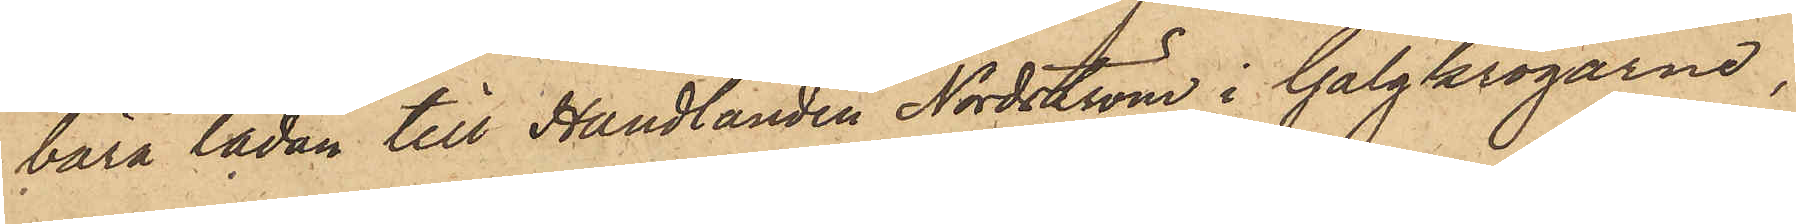bära lådan till Handlanden Nordström i Galgkrogarne,
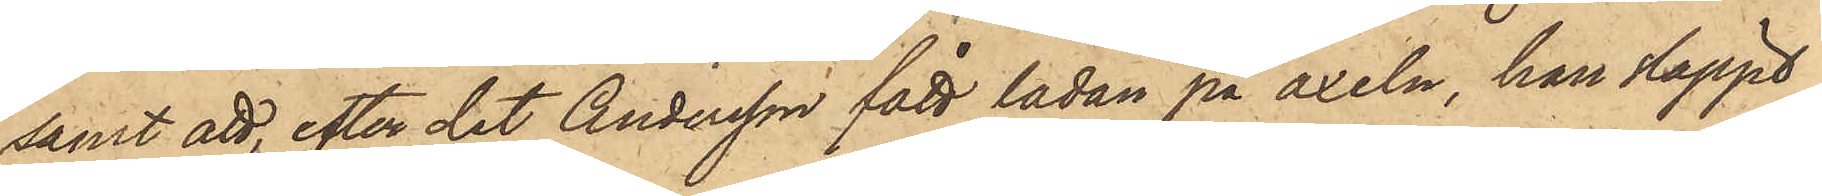samt att, efter det Andersson fått lådan på axeln, han släppt
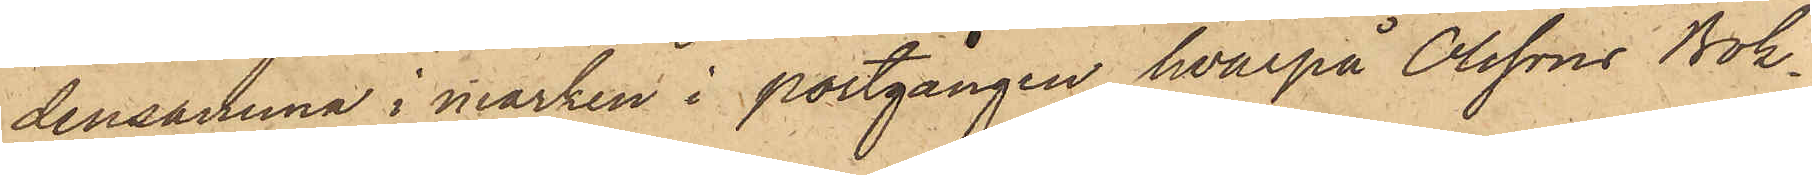densamma i marken i portgången, hvarpå Olssons Bok¬,
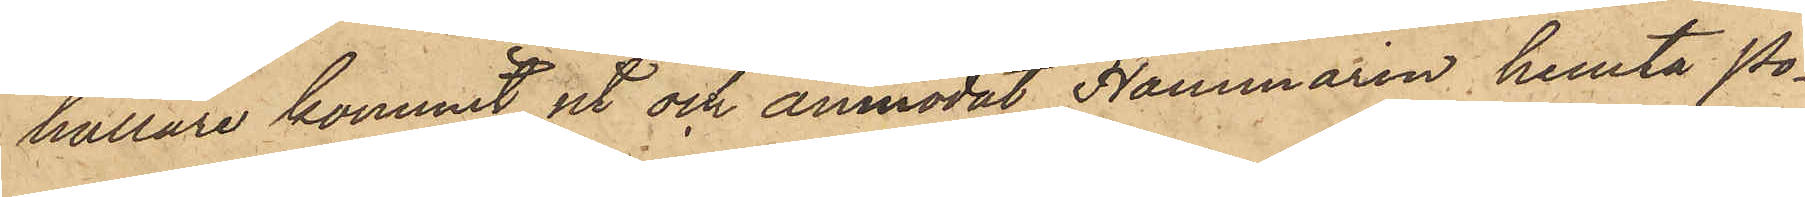hållare kommit ut och anmodat Hammarin hemta Po¬
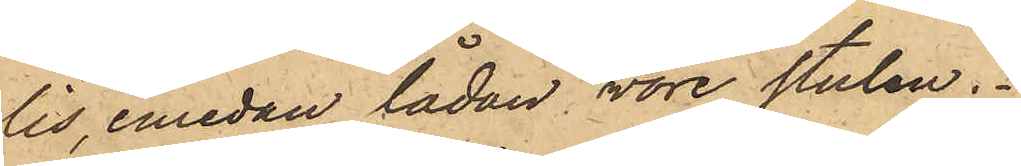lis, emedan lådan vore stulen.
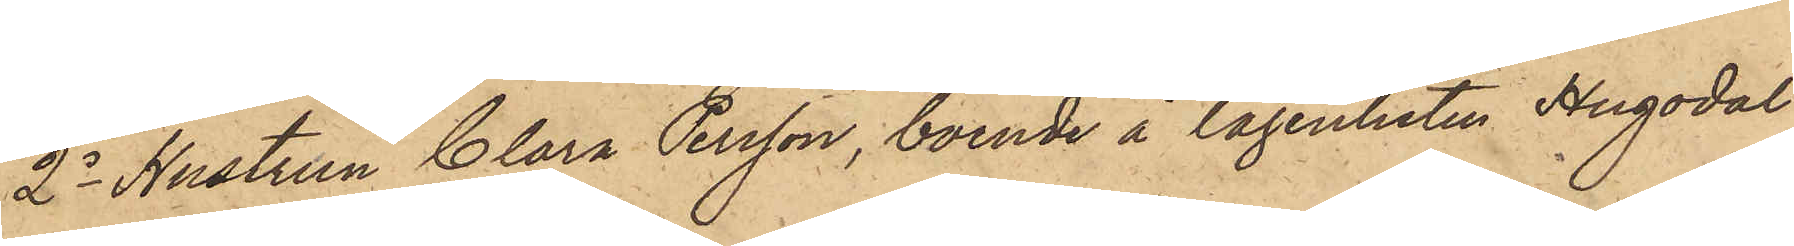2o Hustrun Clara Persson, boende å lägenheten Hugodal
